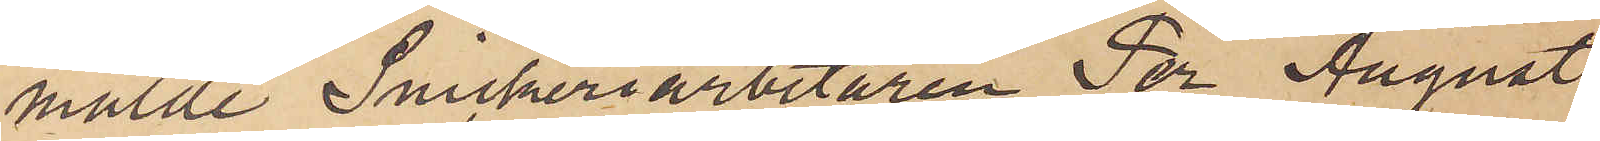mälde Snickeriarbetaren Per August
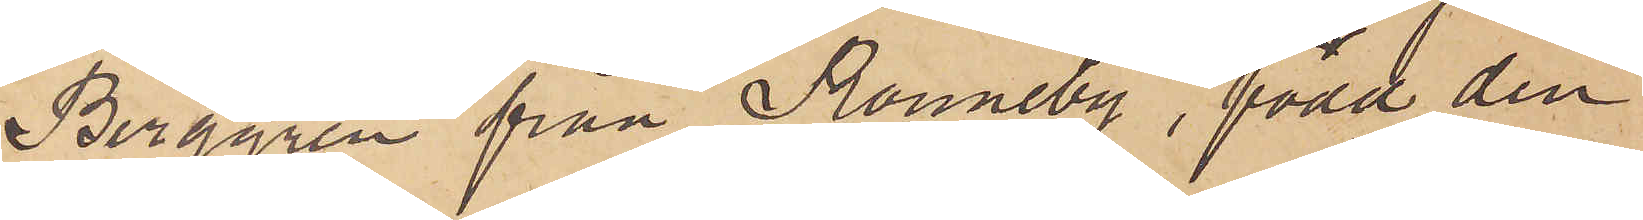Berggren från Ronneby, född den
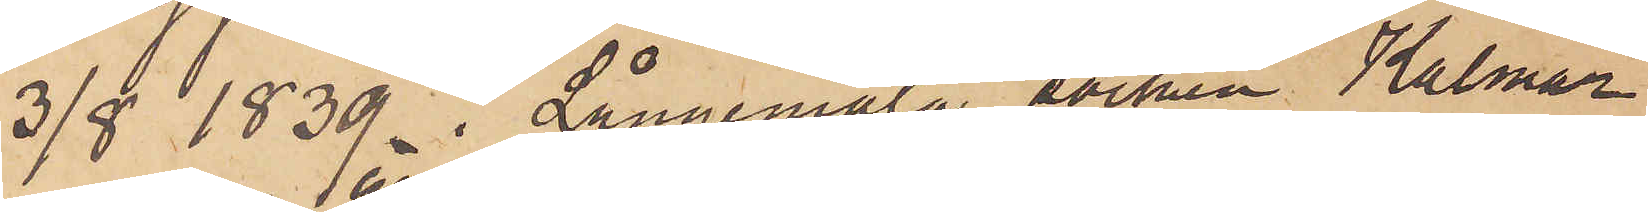3/8 1839 i Långemåla socken Kalmar
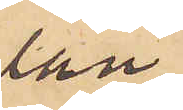län
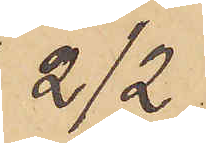2/2
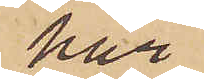här
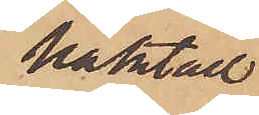häktad
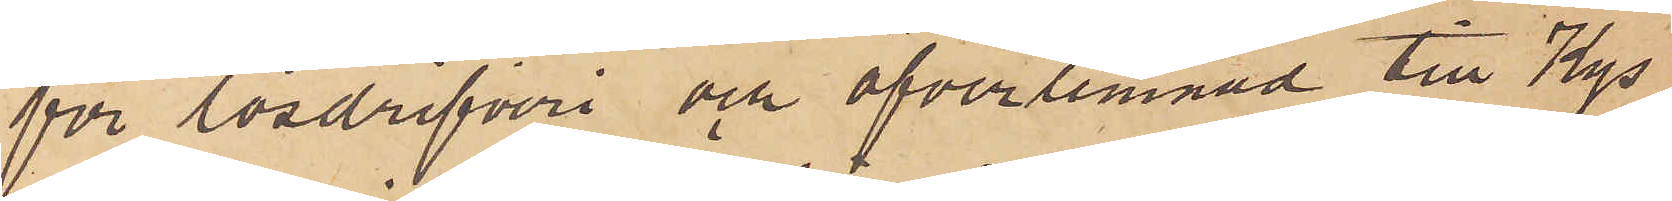för lösdrifveri och öfverlemnad till Kgs
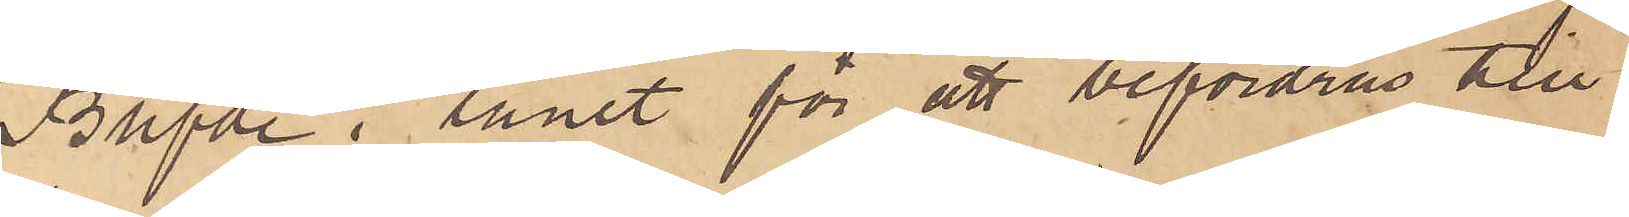Befde i länet för att befordras till
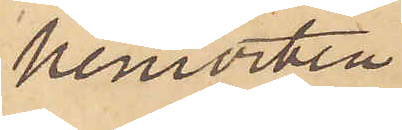hemorten.
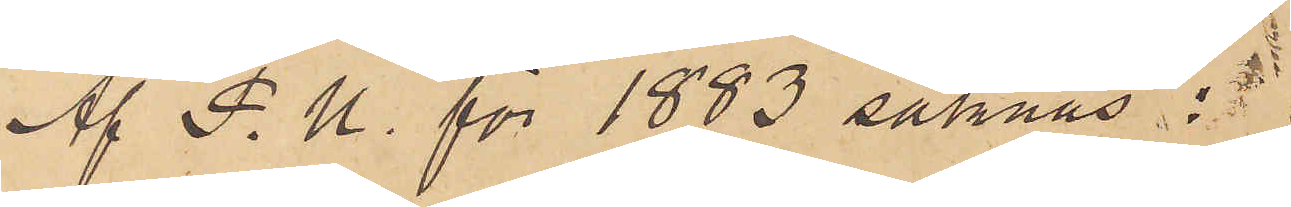Af P. U. för 1883 saknas:
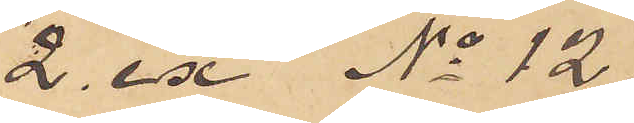2 ex No 12.
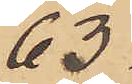63.
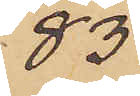83.
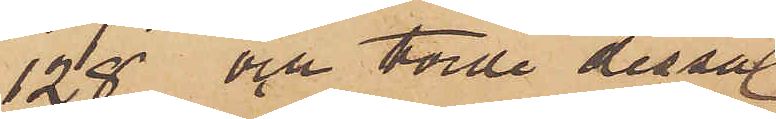128 och torde dessa
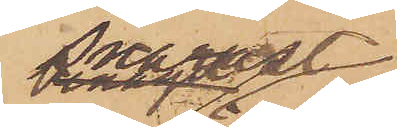snarast
